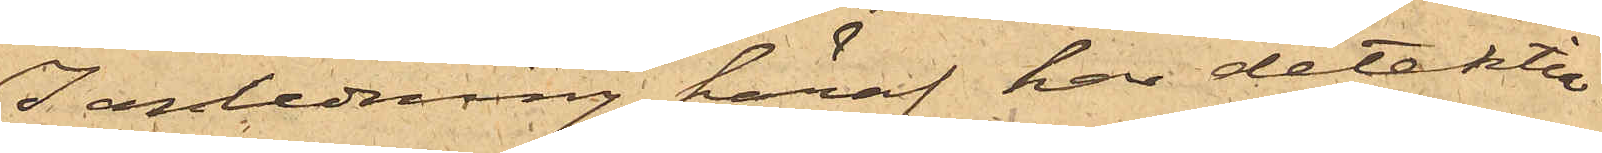I anledning häraf har detektiv¬
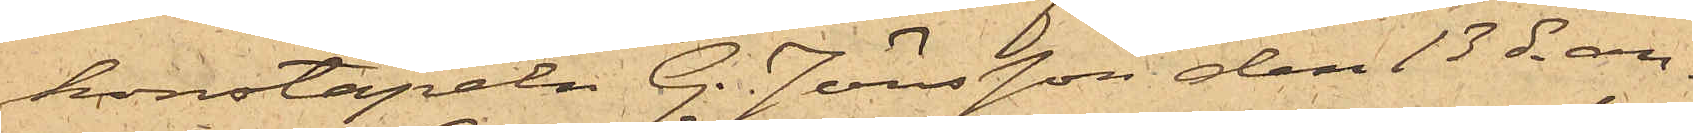konstapeln G. Jönsson den 13 ds an¬
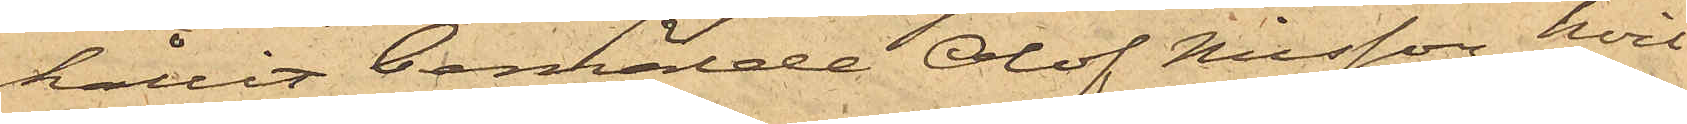hållit bemälde Olof Nilsson, hvil¬
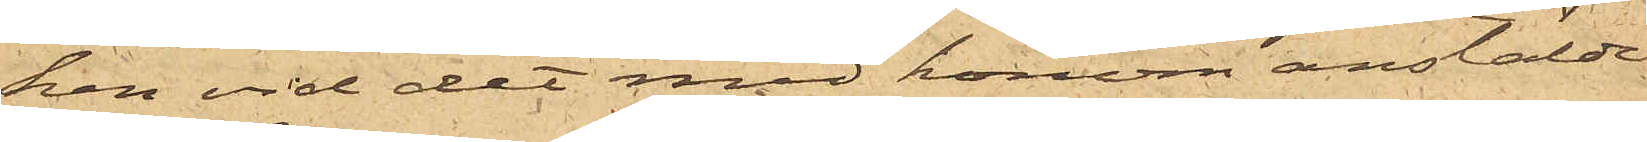ken vid det med honom anstälde
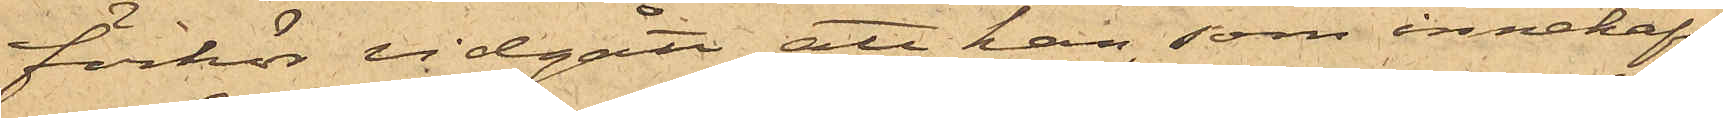förhör vidgått att han, som innehaft
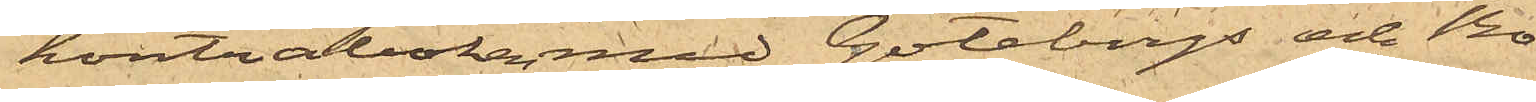kontraboken med Göteborgs och Bo¬
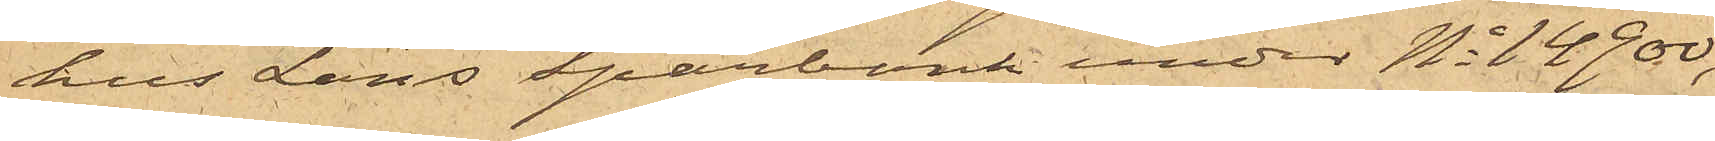hus Läns Sparbank under No 14900,
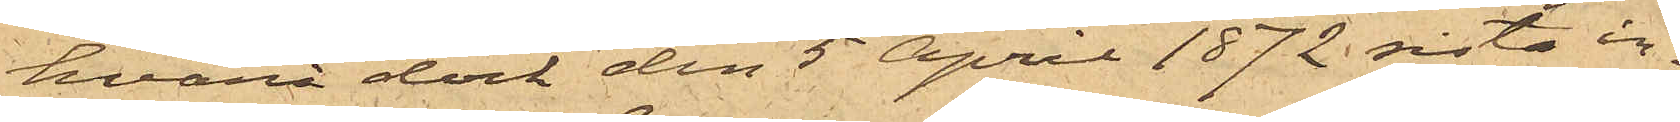hvarå dock den 5 April 1872 sista in¬
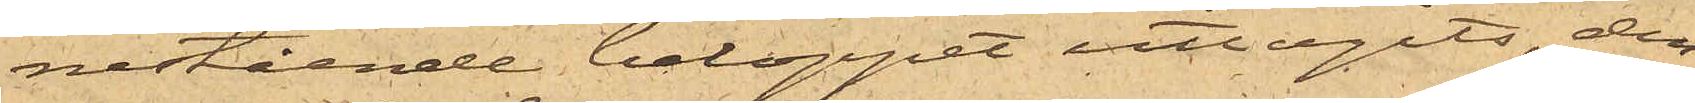nestående beloppet uttagits, den
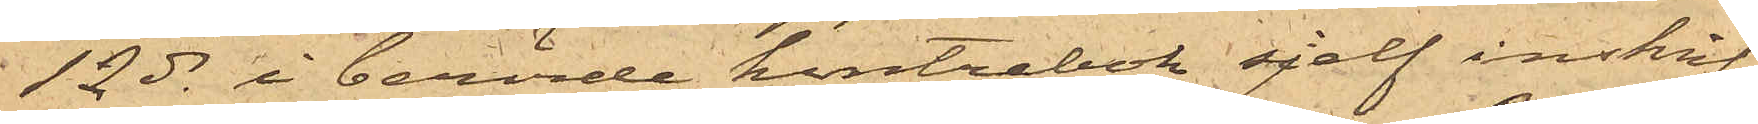12 ds i berörde kontrabok sjelf inskrif¬
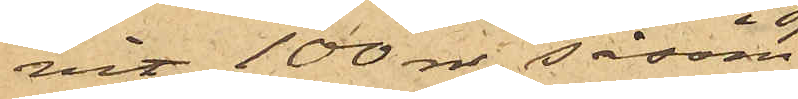vit 100 rdr såsom
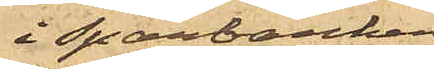i Sparbanken
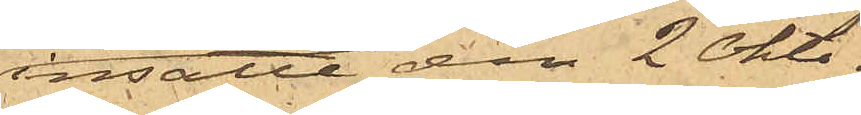insatte den 2 Okto¬
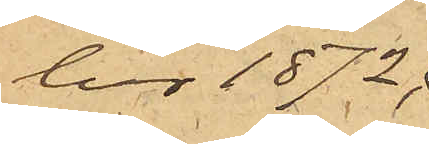ber 1872;
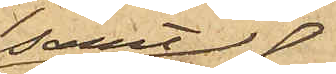samt
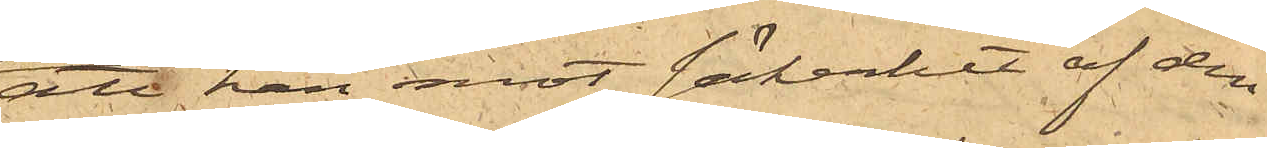att han mot säkerhet af den
